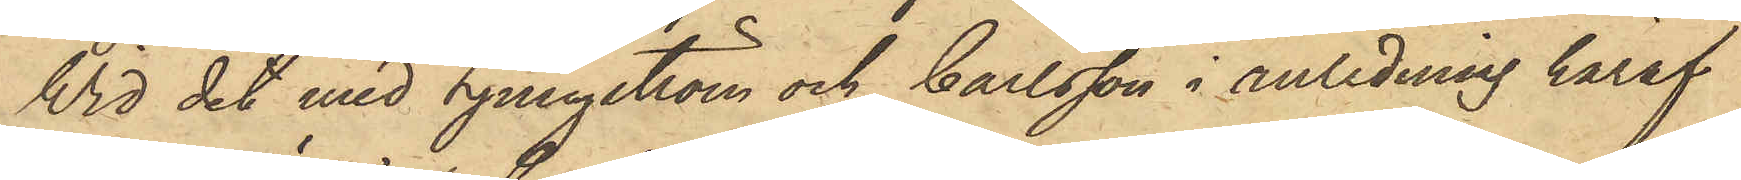Wid det med Ljungström och Carlsson i anledning häraf
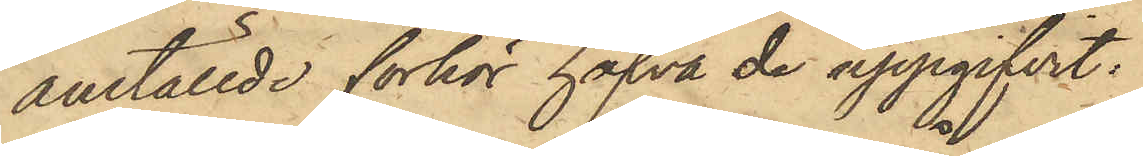anställde förhör hafva de uppgifvit:
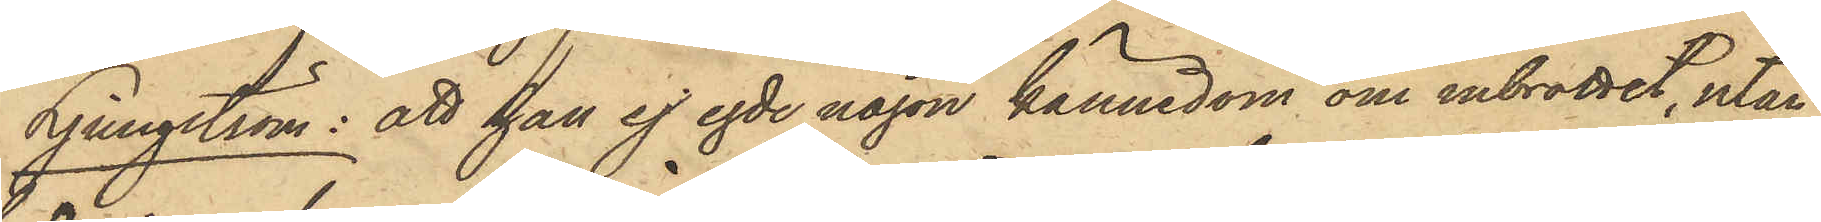Ljungström: att han ej egde någon kännedom om inbrottet, utan
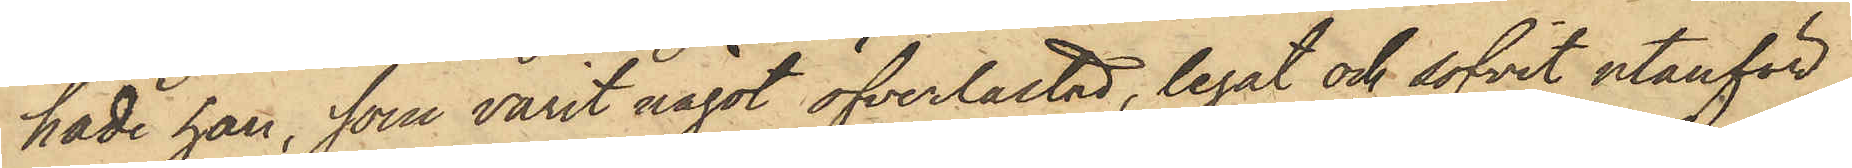hade han, som varit något öfverlastad, legat och sofvit utanför
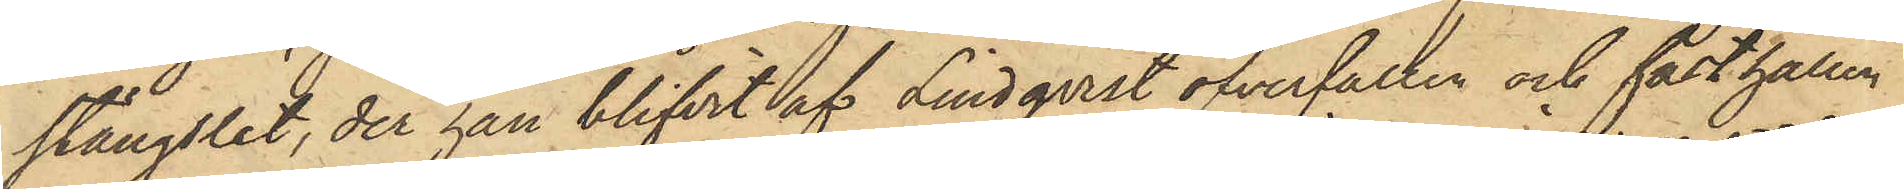stängslet, der han blifvit af Lindqvist öfverfallen och fasthållen
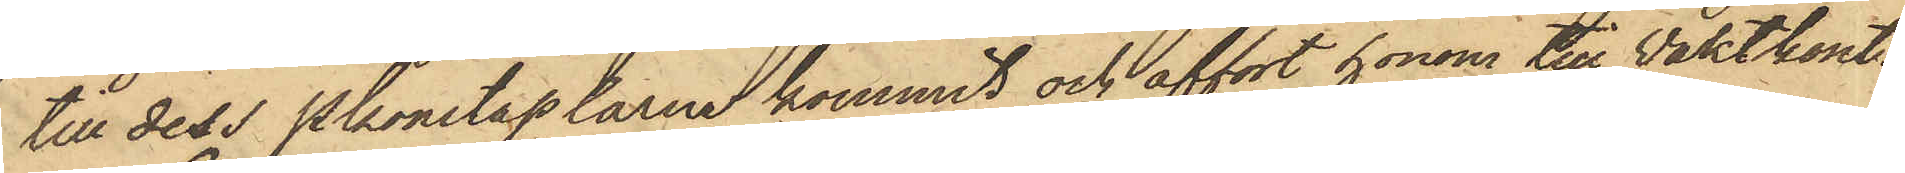till dess Pkonstaplarne kommit och affört honom till Vaktkont.
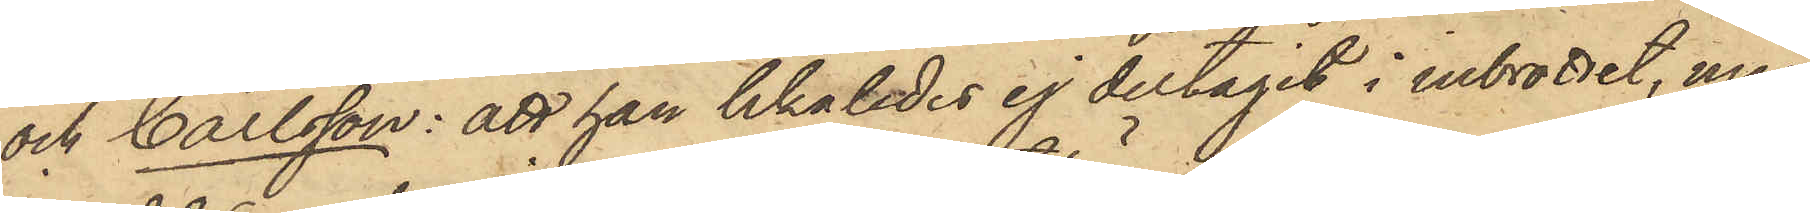och Carlsson: att han likaledes ej deltagit i inbrottet, men
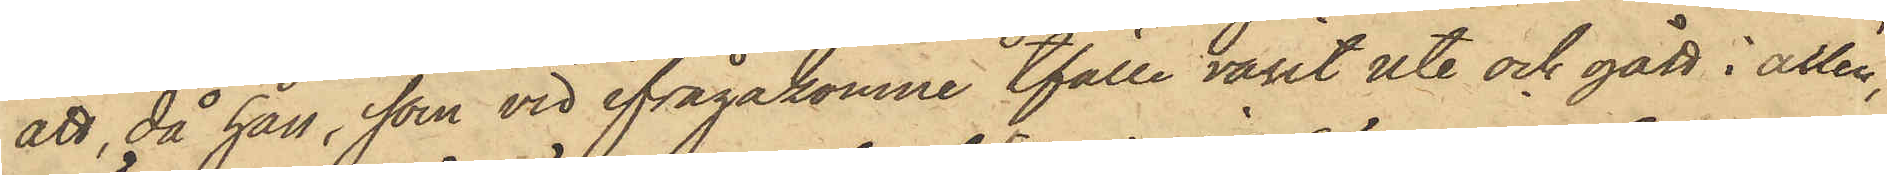att, då han, som vid ifrågakomne tfälle varit ute och gått i allén,
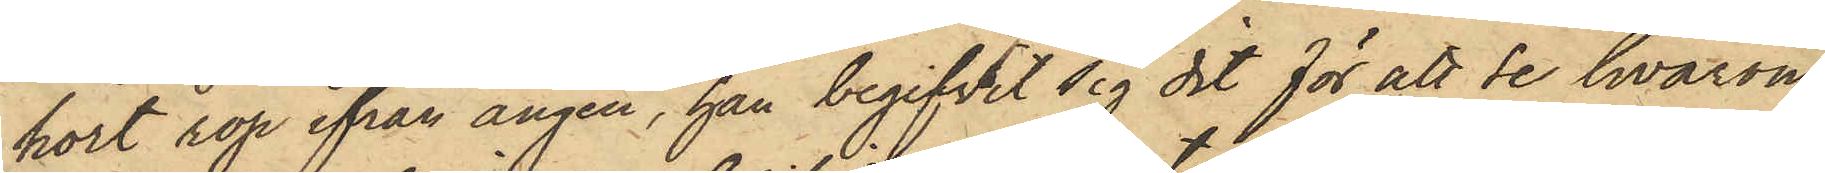hört rop ifrån ängen, han begifvit sig dit för att se hvarom
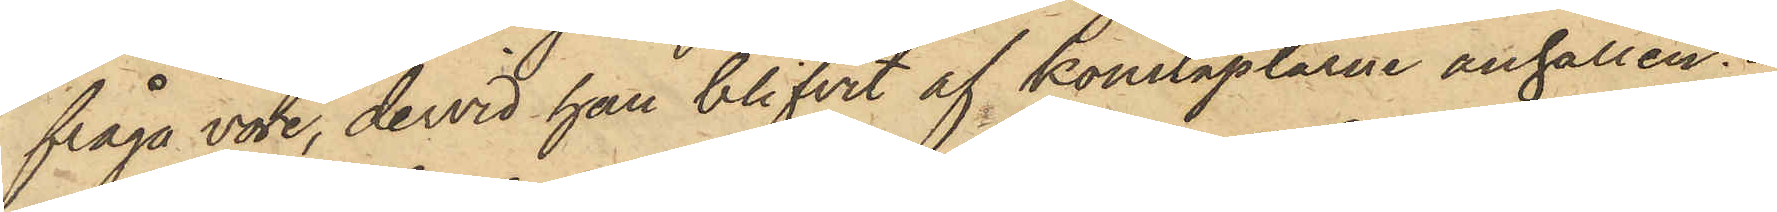fråga vore, dervid han blifvit af konstaplarne anhållen.
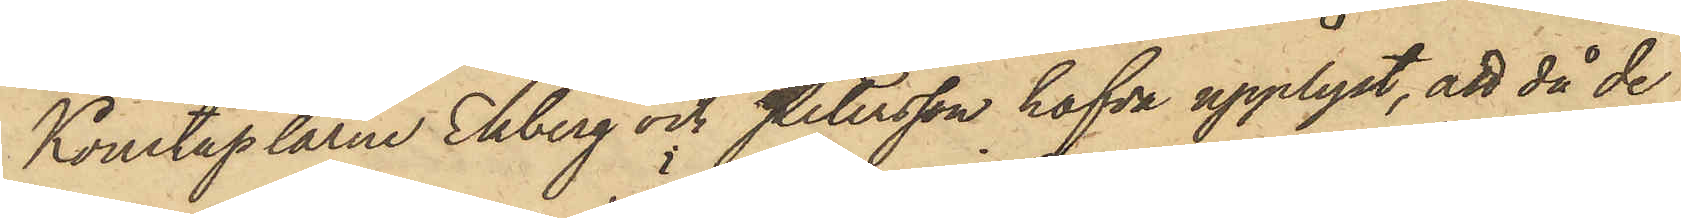Konstaplarne Ekberg och Petersson hafva upplyst, att då de
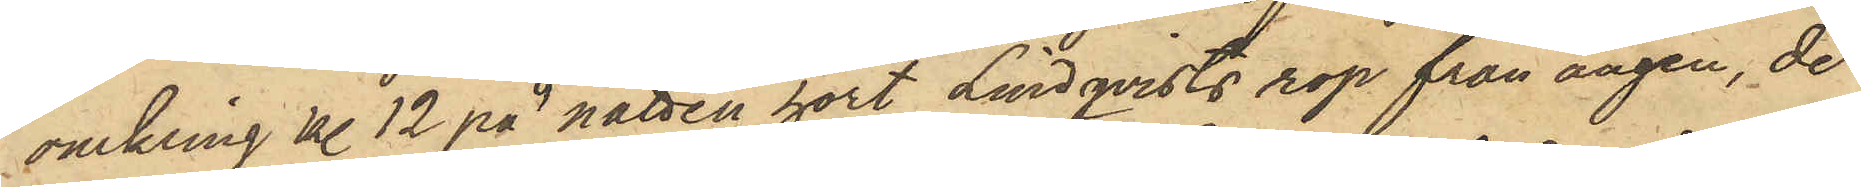omkring kl. 12 på natten hört Lindqvists rop från ängen, de
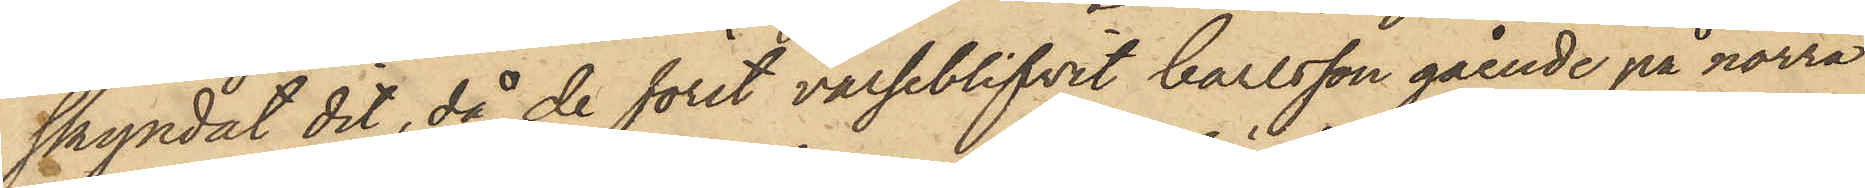skyndat det, då de först varseblifvit Carlsson gående på norra
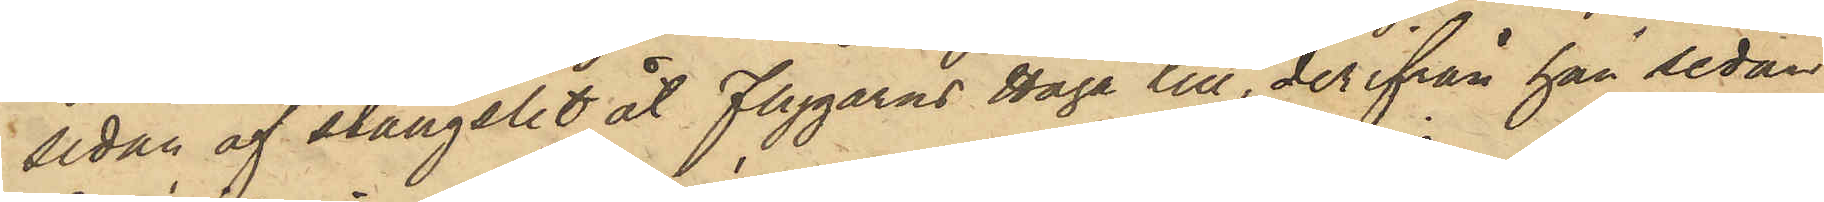sidan af stängslet åt Flygarns Haga till, derifrån han sedan
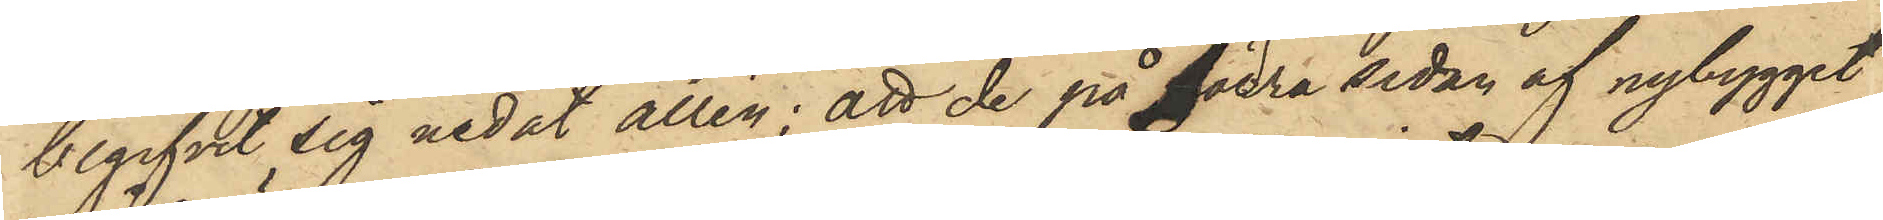begifvit sig nedåt allén; att de på Södra sidan af nybygget
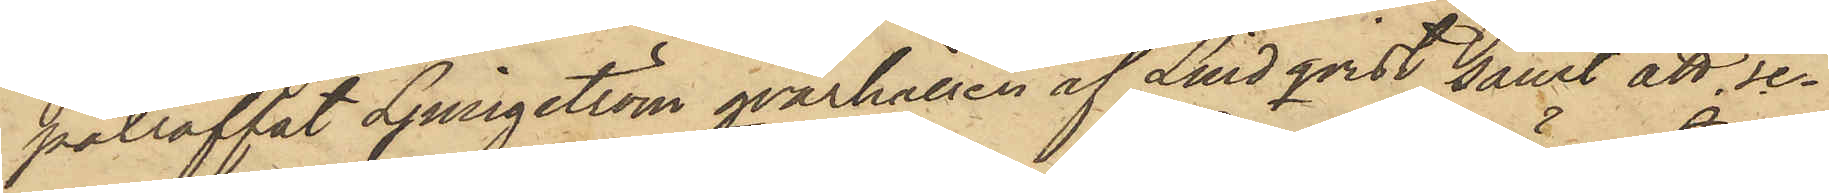påträffat Ljungström qvarhållen af Lindqvist samt att se¬
